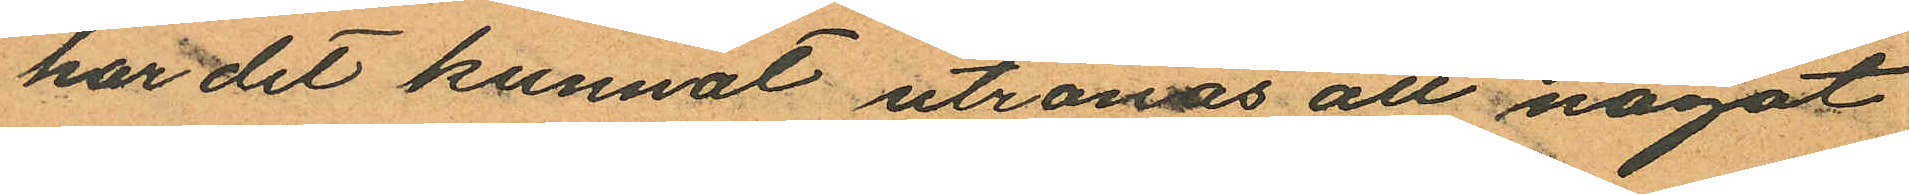har det kunnat utrönas att något
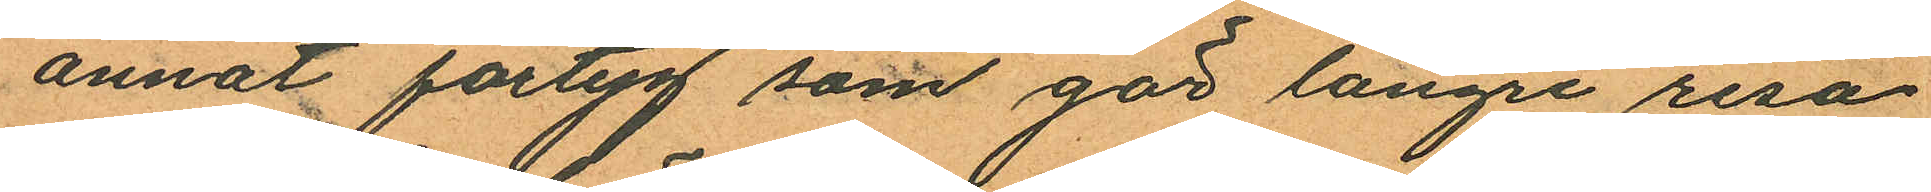annat fartyg som gör längre resa
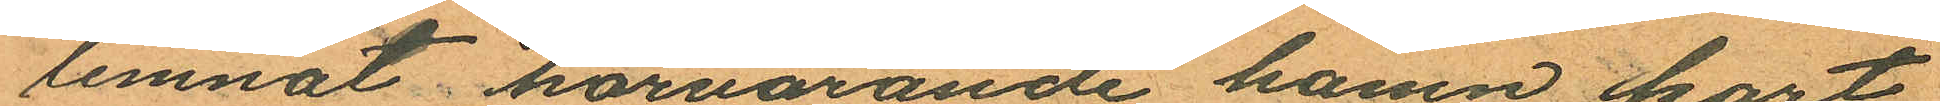lemnat härvarande hamn kort
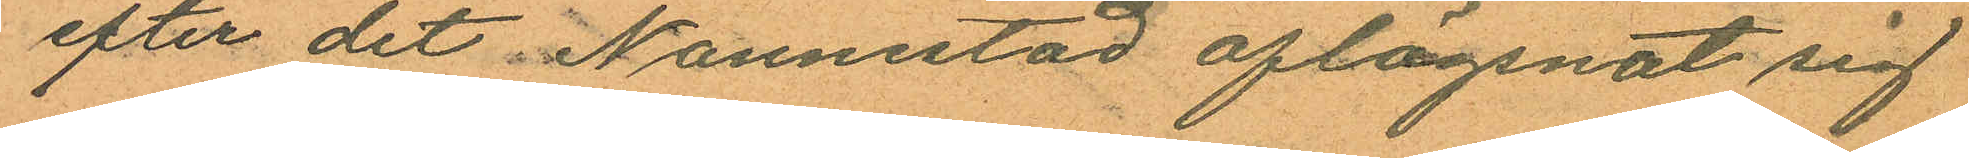efter det Nannestad aflägsnat sig
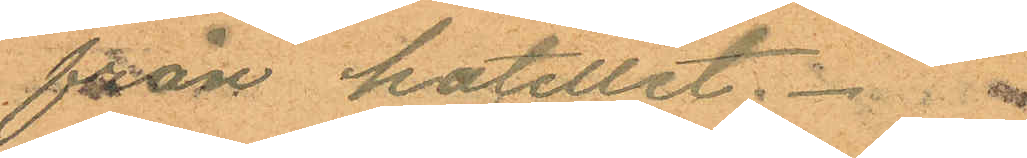från hotellet.
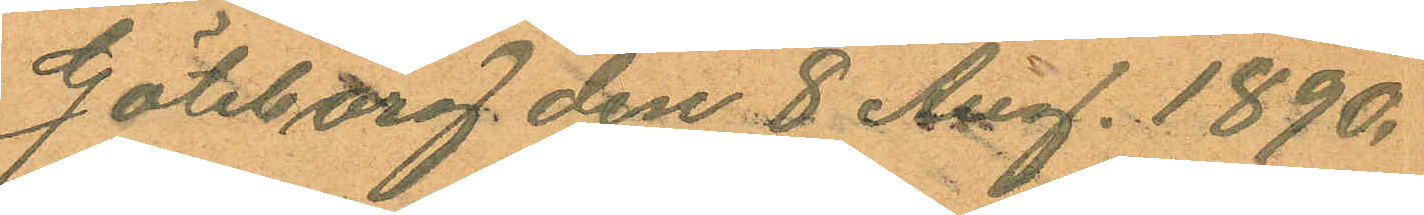Göteborg den 8 Aug. 1890.
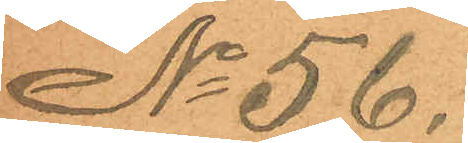No 56.
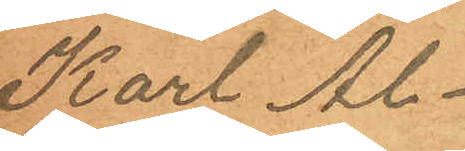Karl Al¬
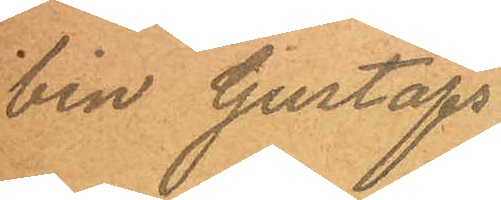bin Gustafs
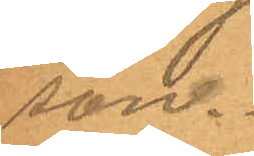son.
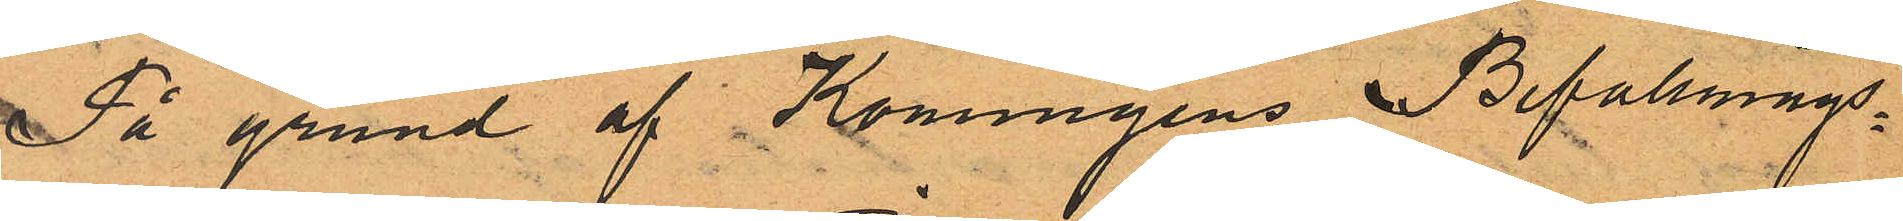På grund af Konungens Befallnings¬
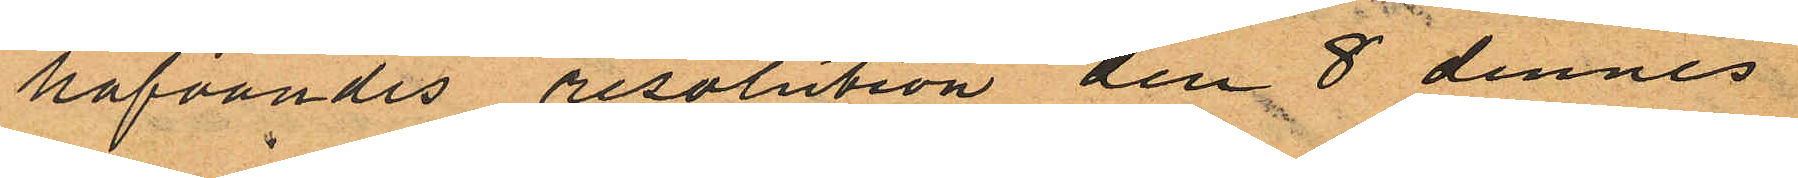hafvandes resolution den 8 dennes
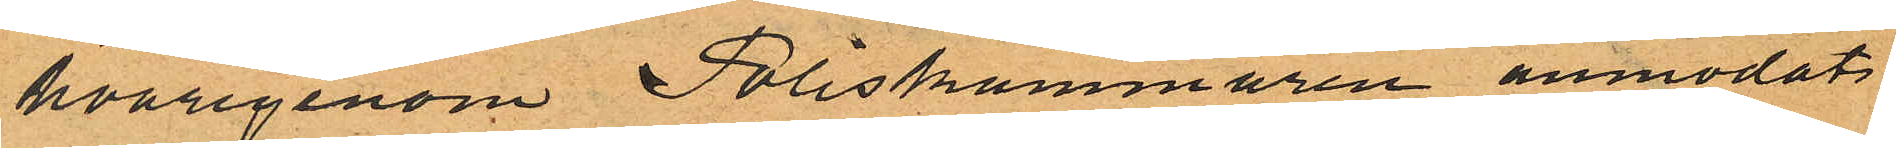hvarigenom Poliskammaren anmodats
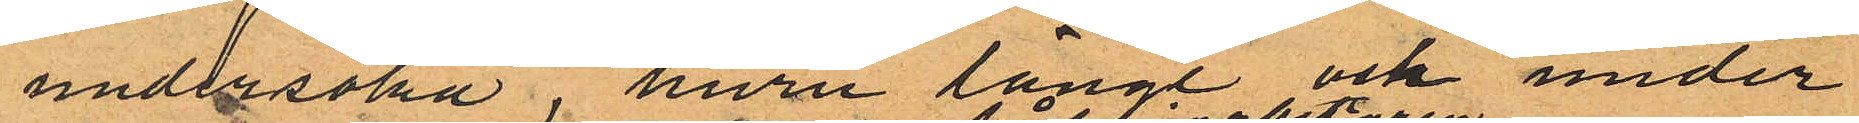undersöka, huru länge och under
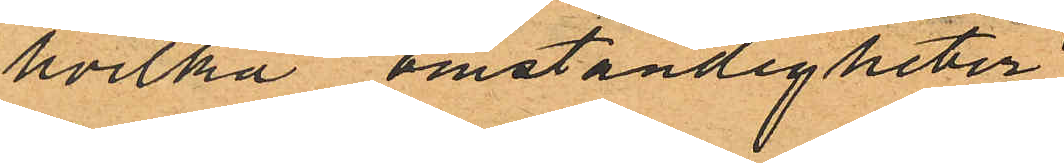hvilka omständigheter
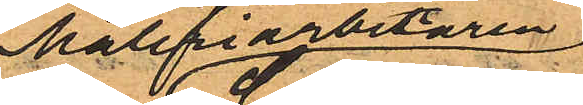Måleriarbetaren
